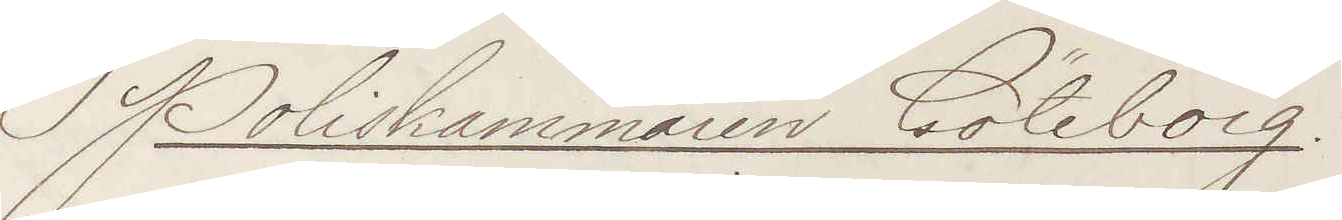Poliskammaren Göteborg.
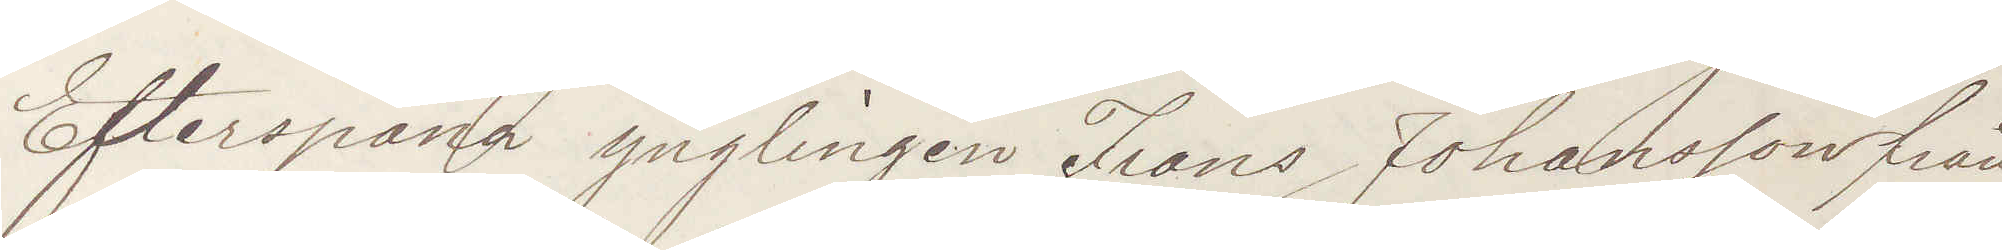Efterspana ynglingen Frans Johansson från
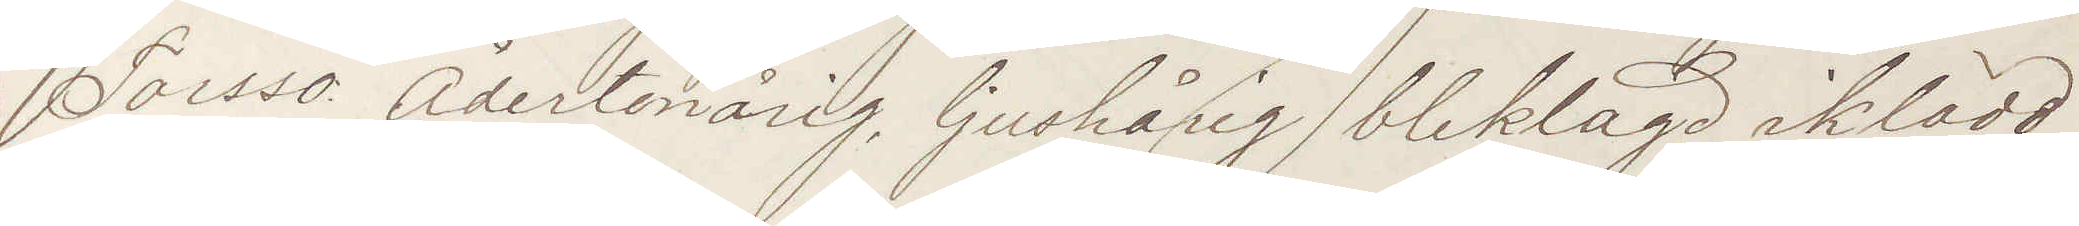Torssö Ådertonårig, ljushårig, bleklagd iklädd
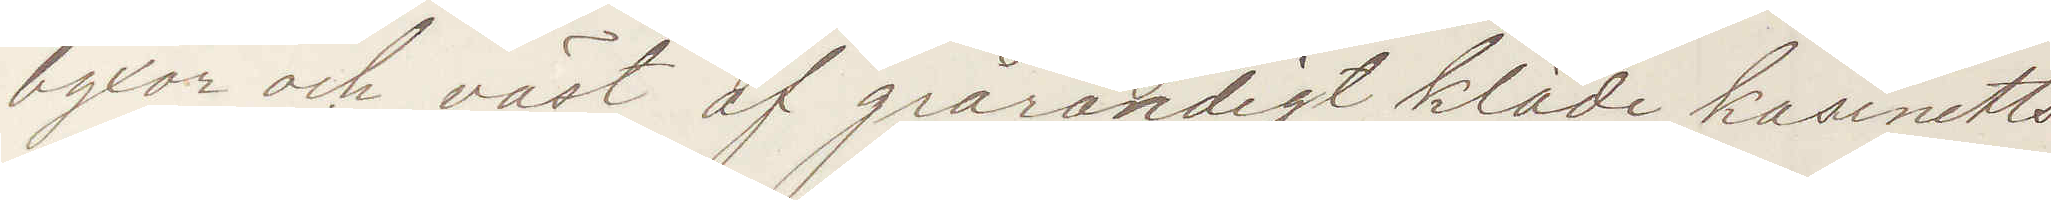byxor och väst af grårandigt kläde, kasinetts¬
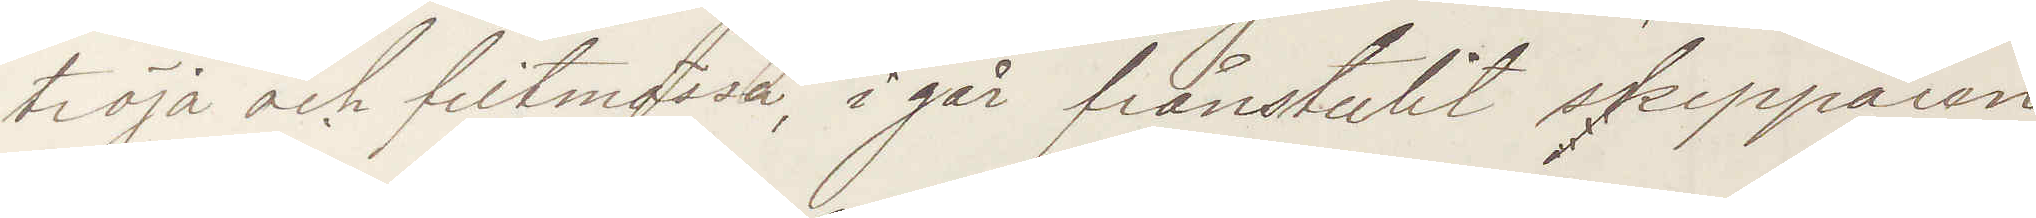tröja och filthatt, igår frånstulit skepparen
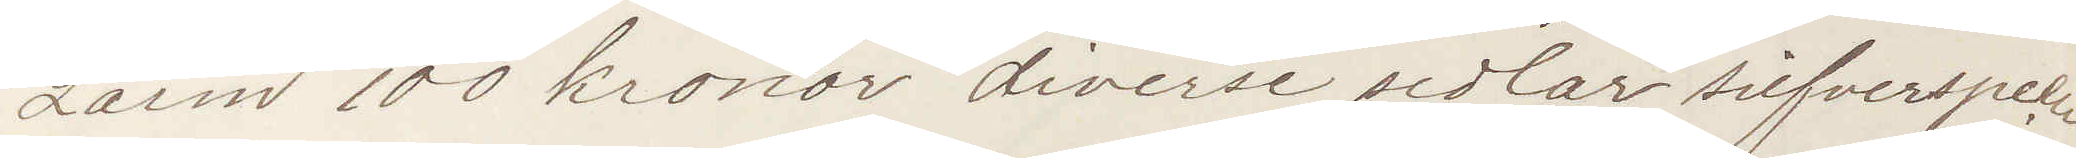Larm 100 kronor diverse sedlar silfverspecie
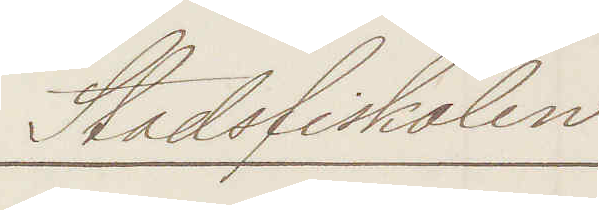Stadsfiskalen
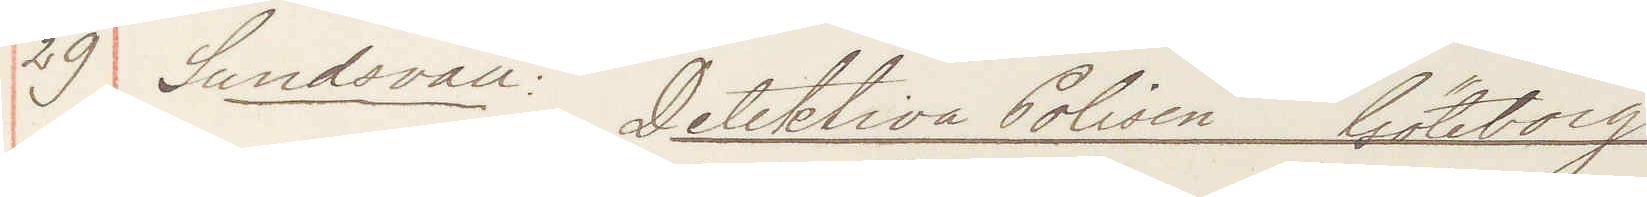29 Sundsvall: Detektiva Polisen Göteborg
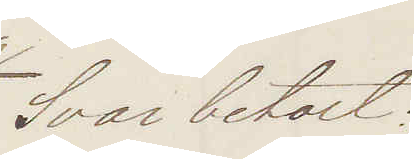Svar betalt:
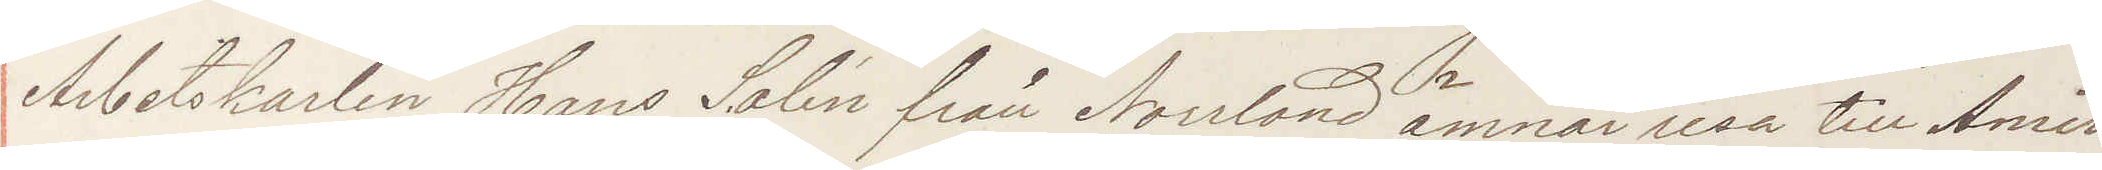Arbetskarlen Hans Salin från Norrland ämnar resa till Ameri¬
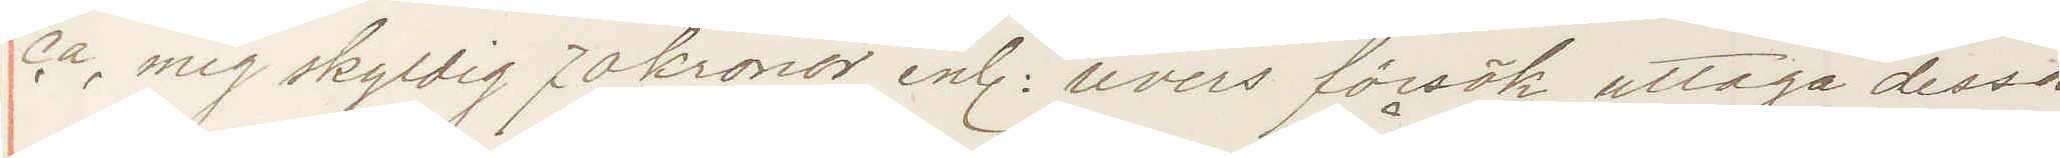ca mig skyldig 70 kronor enl revers försök uttaga dessa
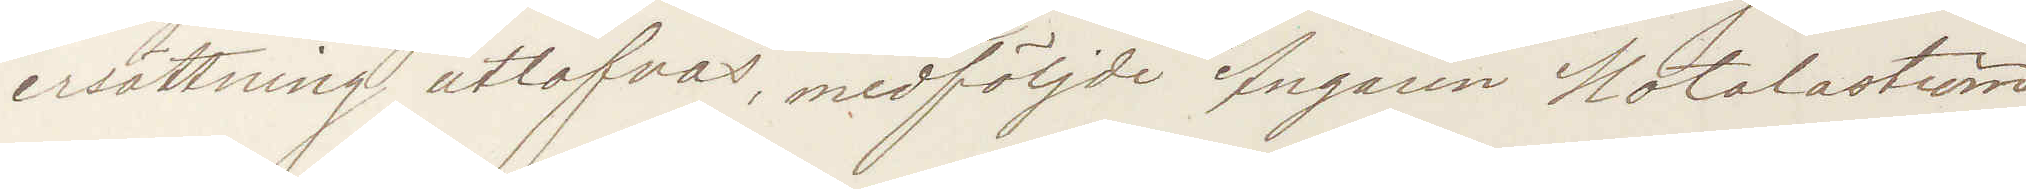ersättning utlofvas medföljde Ångaren Motalaström
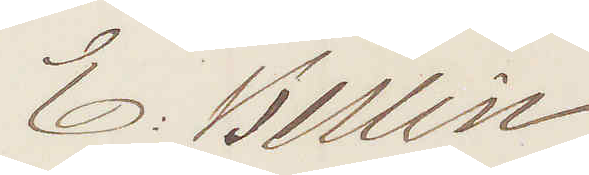E: Berlin
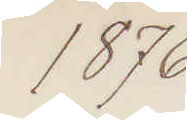1876
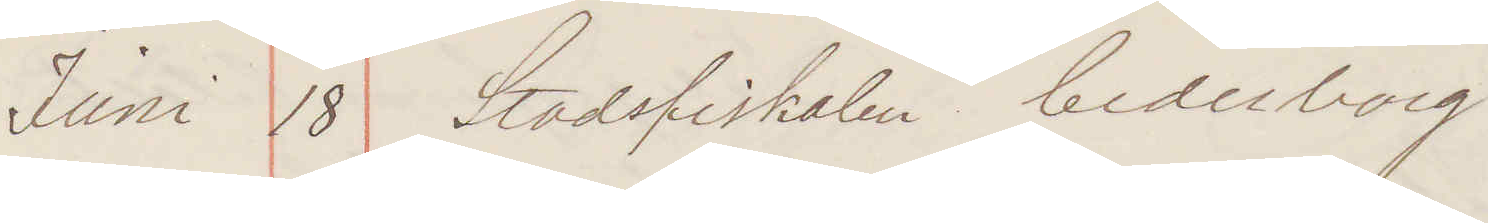Juni 18 Stadsfiskalen Cederborg
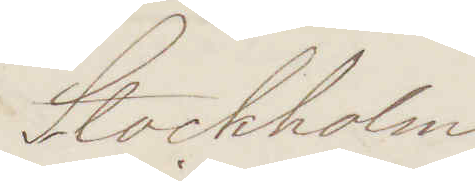Stockholm
